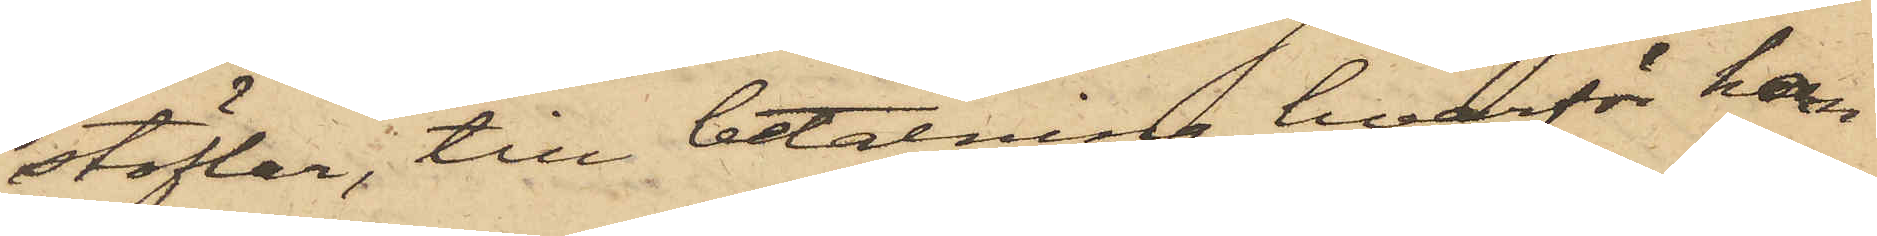stöflar, till betalning hvarför han
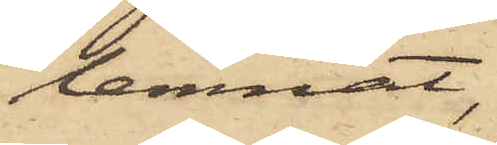lemnat,
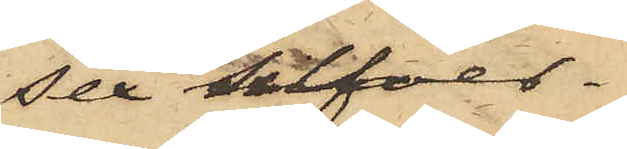sex silfver
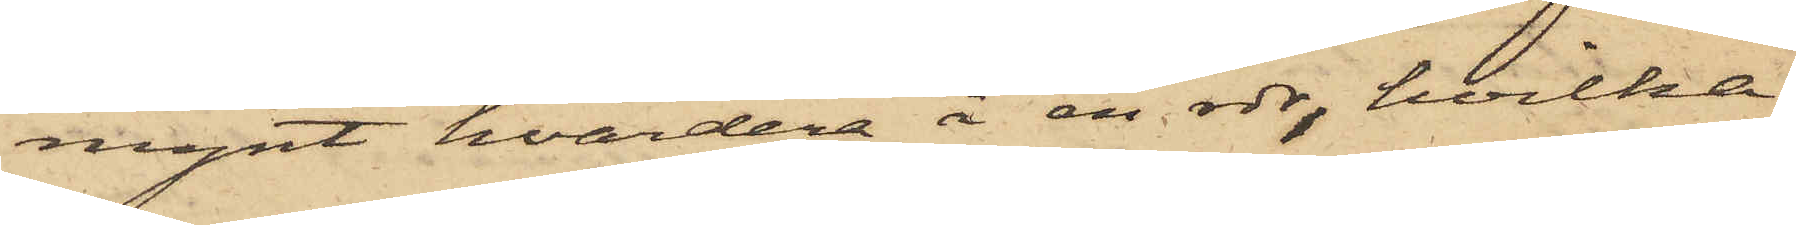mynt, hvardera å en rdr, hvilka
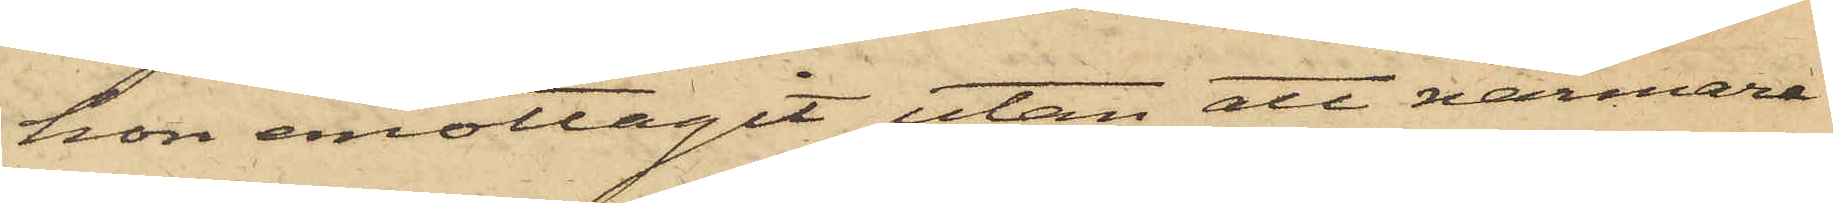hon emottagit utan att närmare
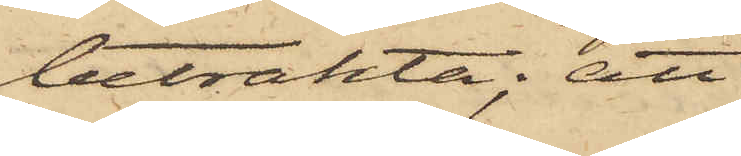betrakta; att
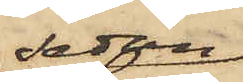sedan
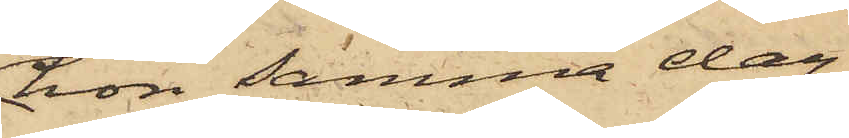hon samma dag
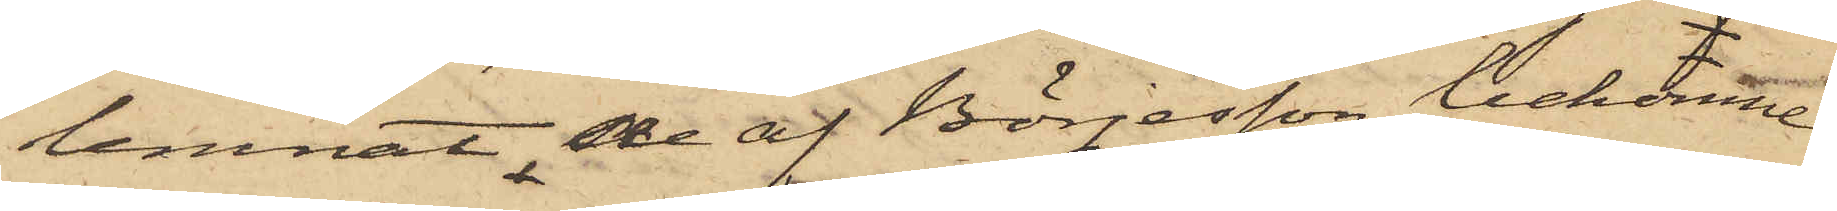lemnat de af Börjesson bekomne
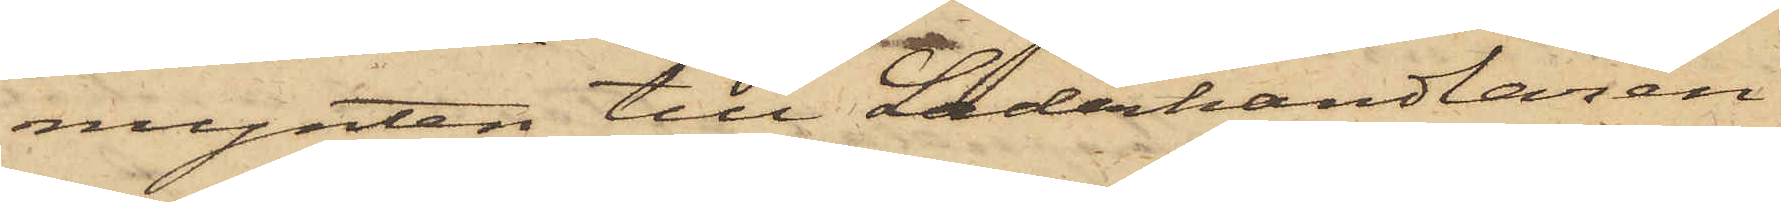mynten till Läderhandlaren
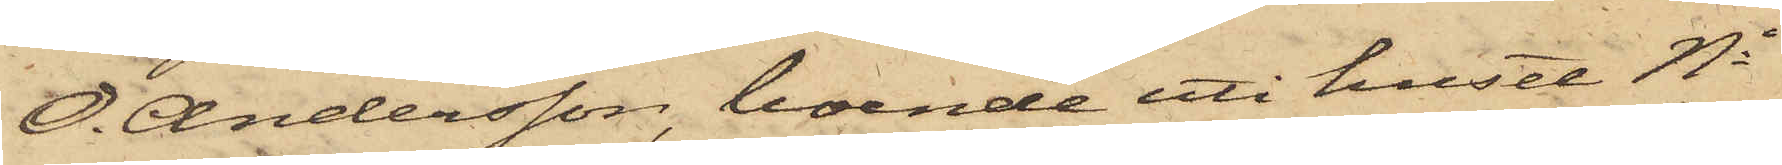O. Andersson, boende uti huset No
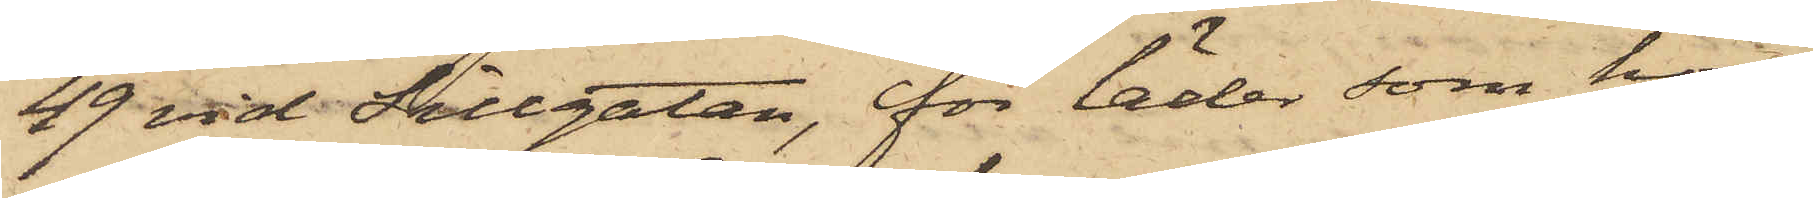49 vid Sillgatan, för läder som hon
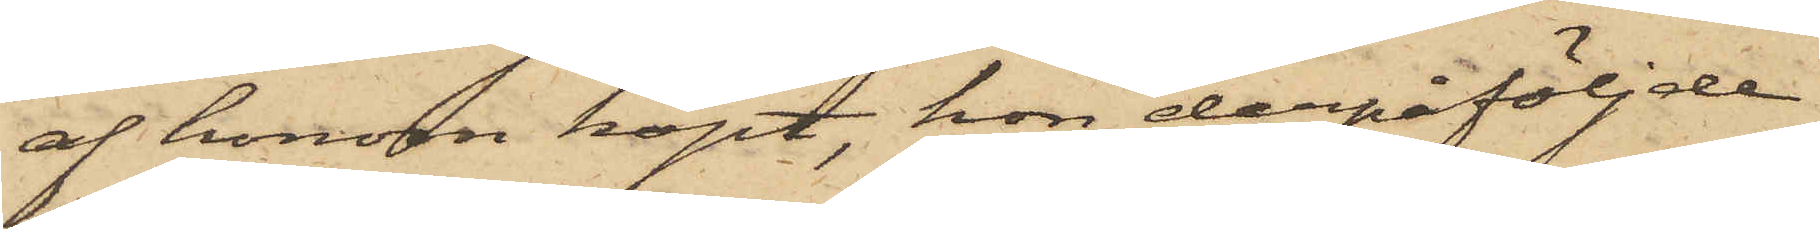af honom köpt, hon derpåföljde
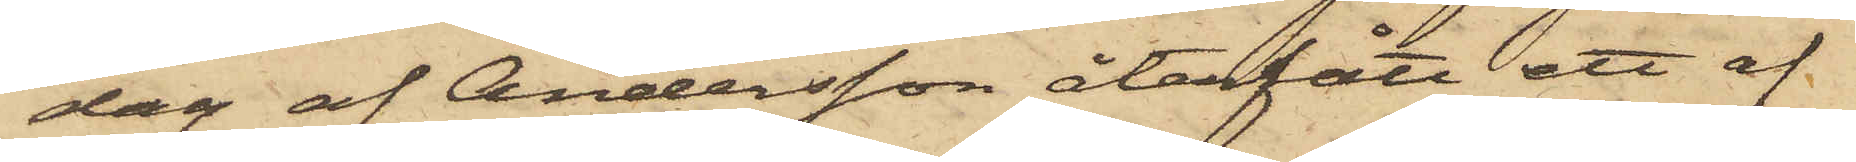dag af Andersson återfått ett af
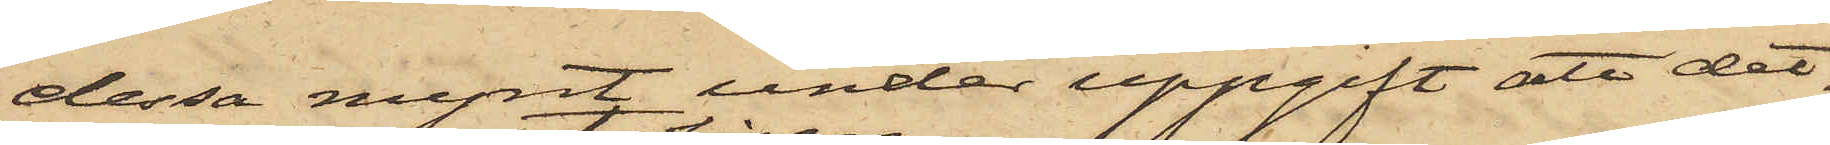dessa mynt, under uppgift att det¬
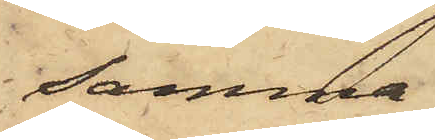samma
